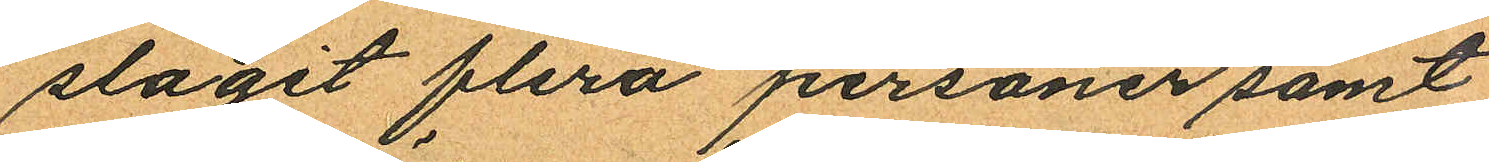slagit flera personer samt
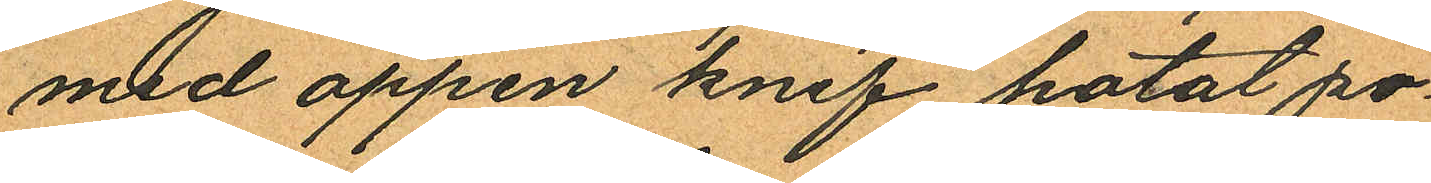med öppen knif hotat po¬
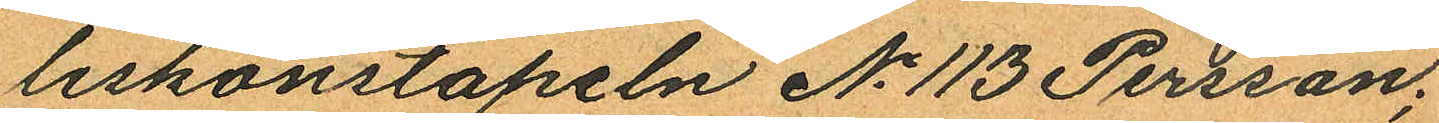liskonstapeln No 113 Persson;
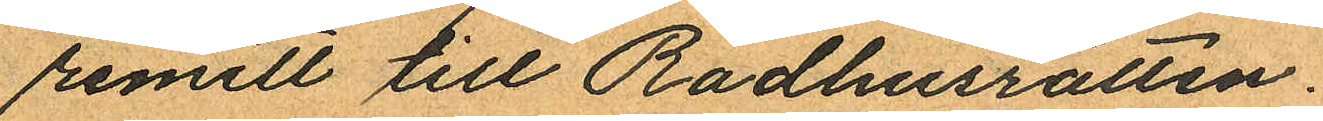remitt till Rådhusrätten.
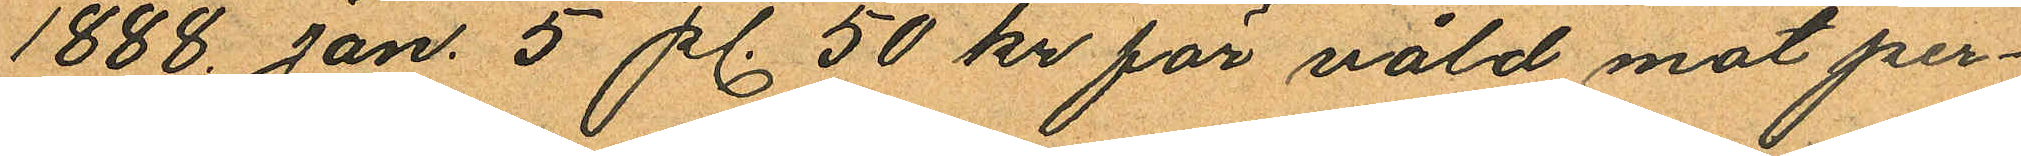1888. Jan. 5 pl. 50 kr för våld mot per¬
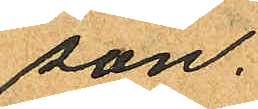son.
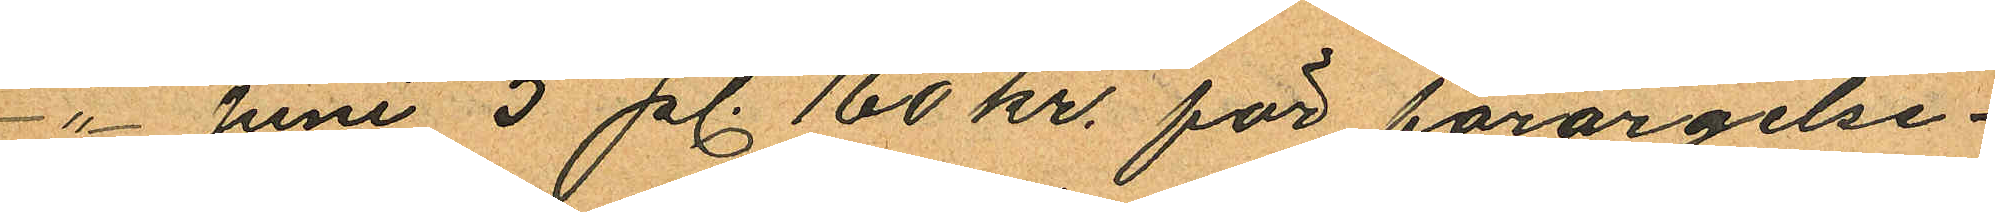- " - Juni 5 pl. 160 kr. för förargelse¬
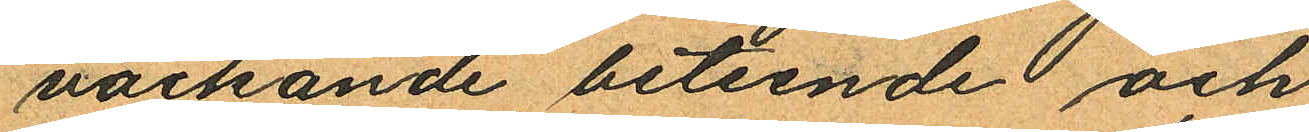väckande beteende och
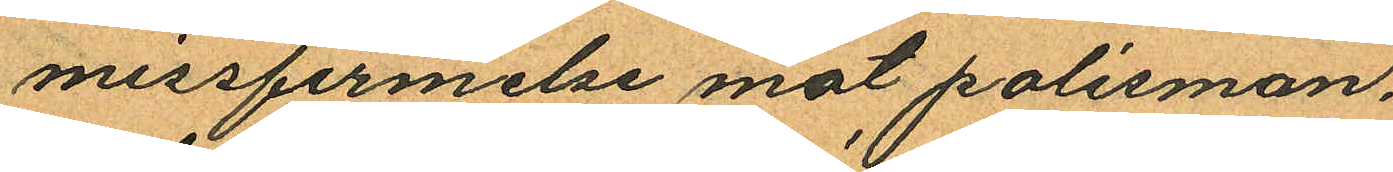missfirmelse mot polisman,
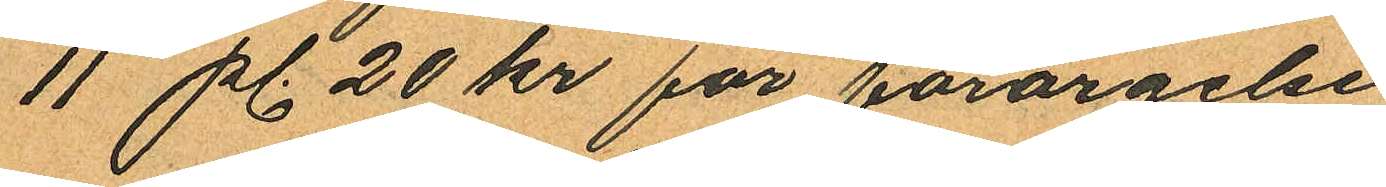11 pl. 20 kr för förargelse
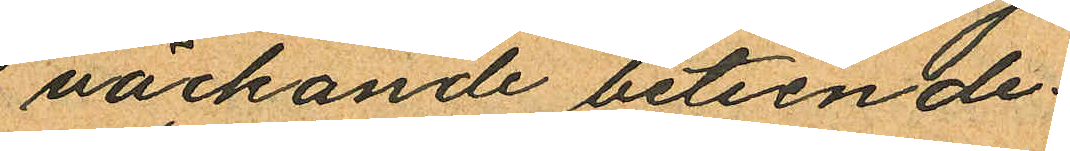väckande beteende.
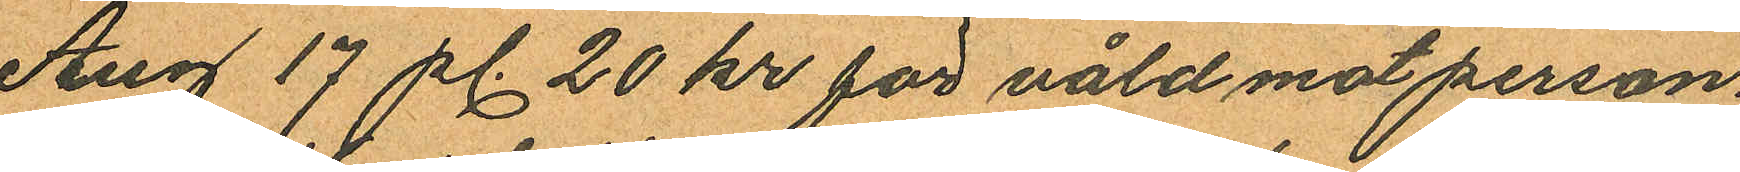Aug 17 pl. 20 kr för våld mot person
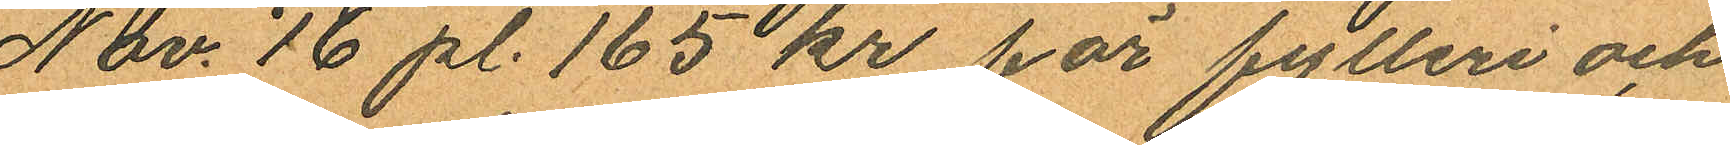Nov. 16 pl. 165 kr par fytleri och
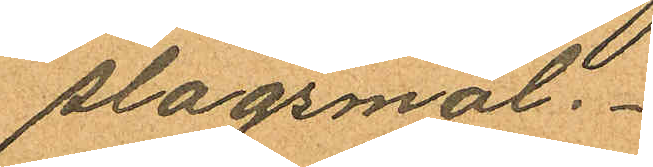slagsmål.
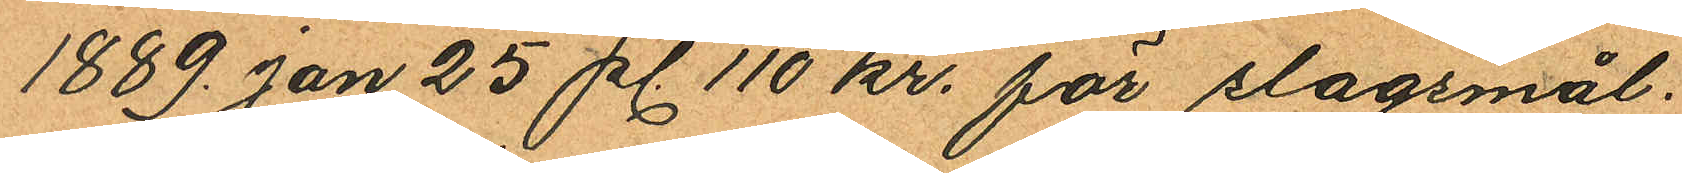1889. Jan 25 pl. 110 kr. för slagsmål.
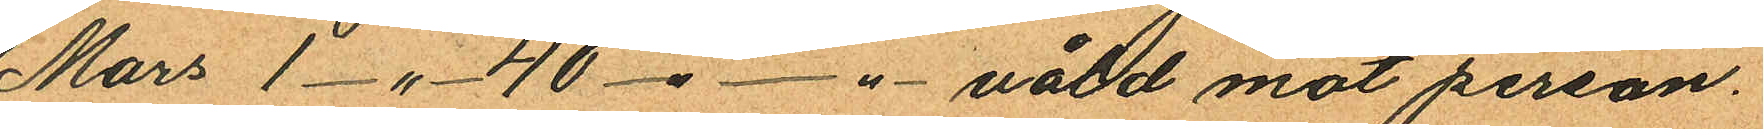Mars 1-"- 40 -"-"- våld mot person.
